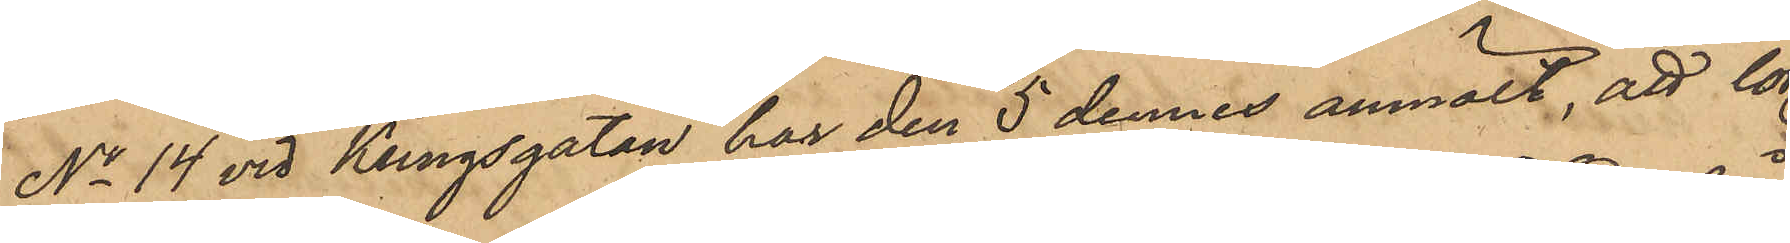No 14 vid Kungsgatan har den 5 dennes anmält, att lör¬
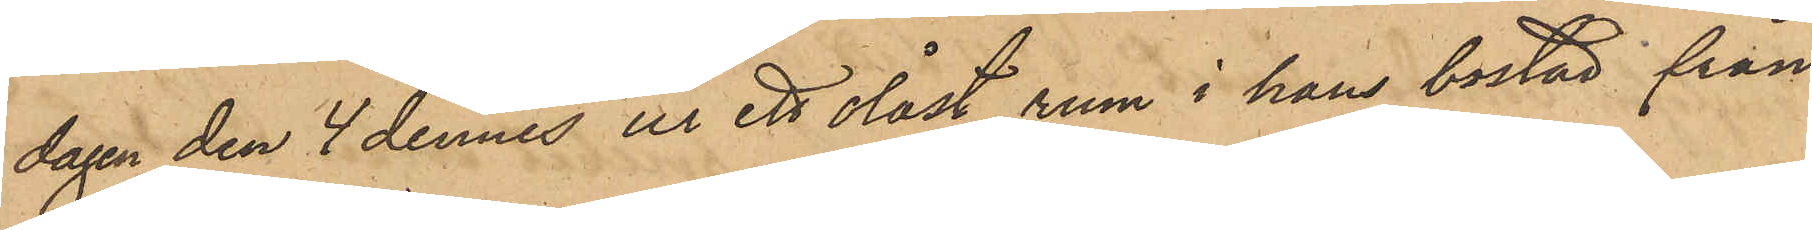dagen den 4 dennes ur ett olåst rum i hans bostad från
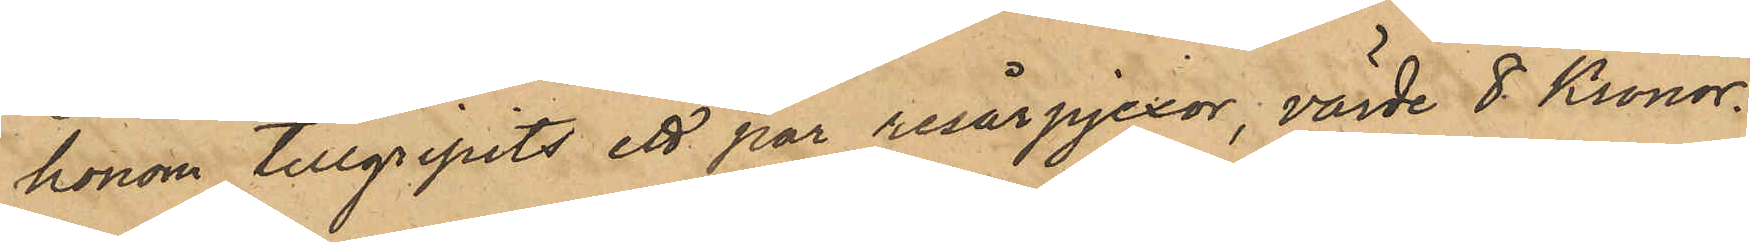honom tillgripits ett par resårpjexor, värde 8 Kronor.
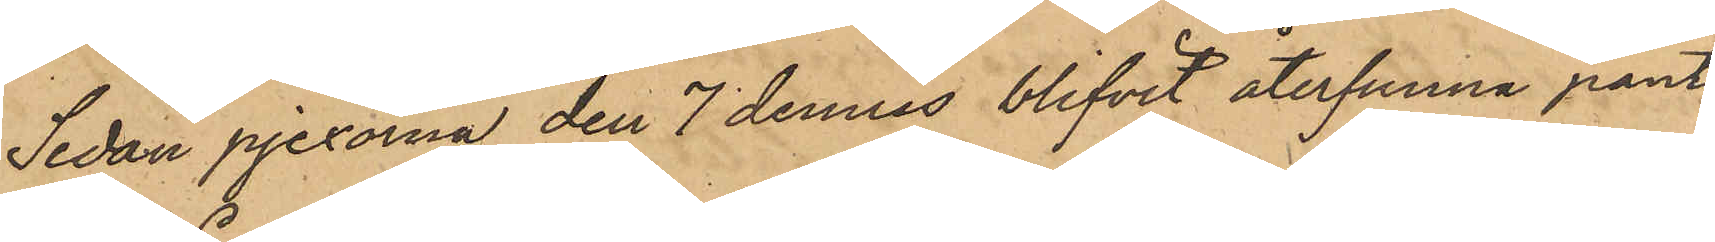Sedan pjexorna den 7 dennes blifvit återfunna pant¬
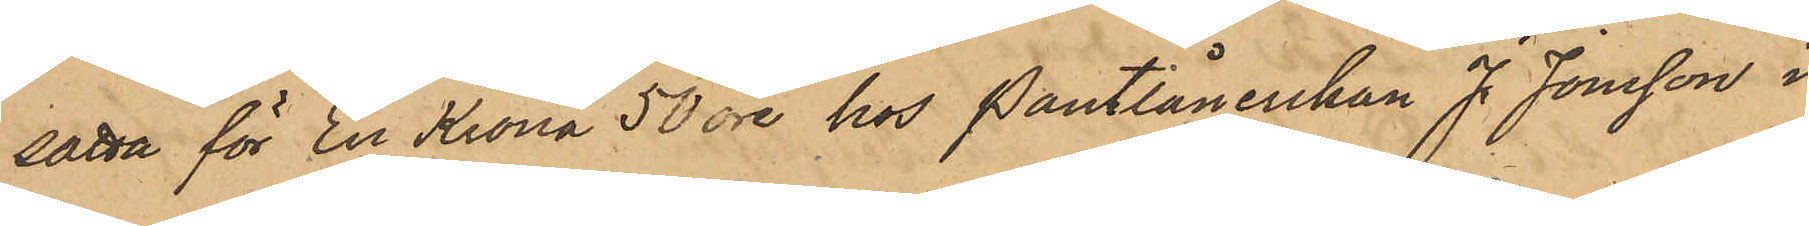satta för En Krona 50 öre hos Pantlånerskan J. Jonsson i
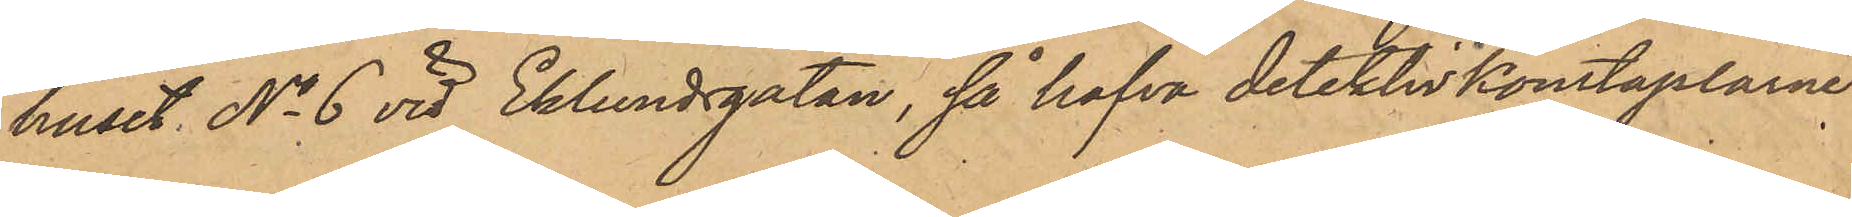huset No 6 vid Eklundsgatan, så hafva detektivkonstaplarne
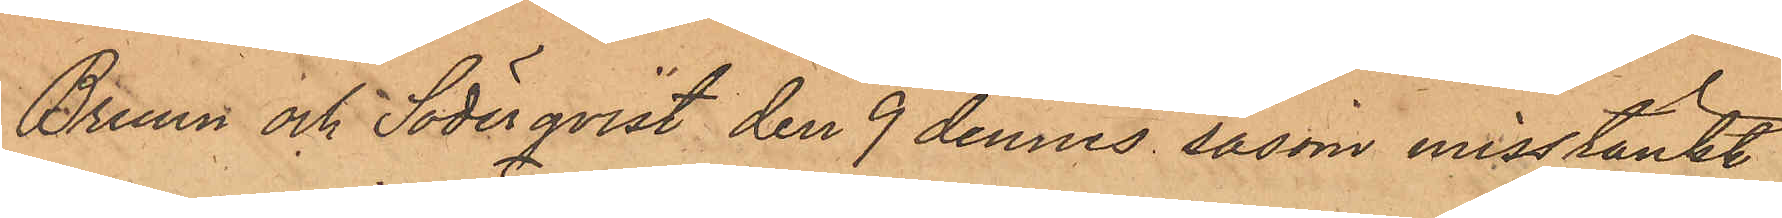Bruun och Söderqvist den 9 dennes såsom misstänkt
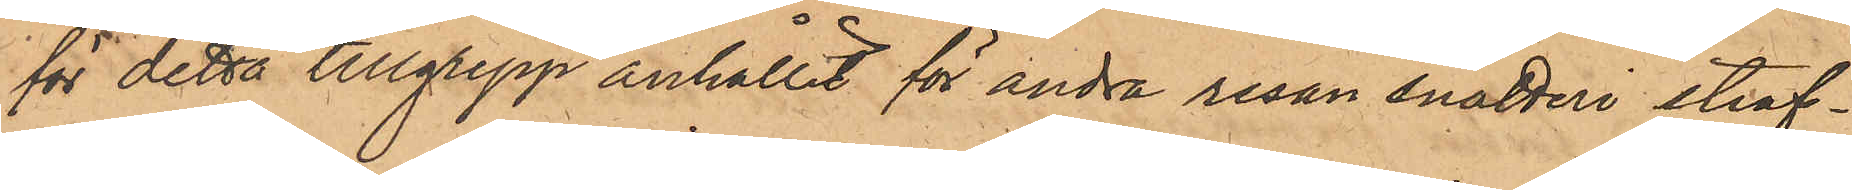för detta tillgrepp anhållit för andra resan snatteri straf¬
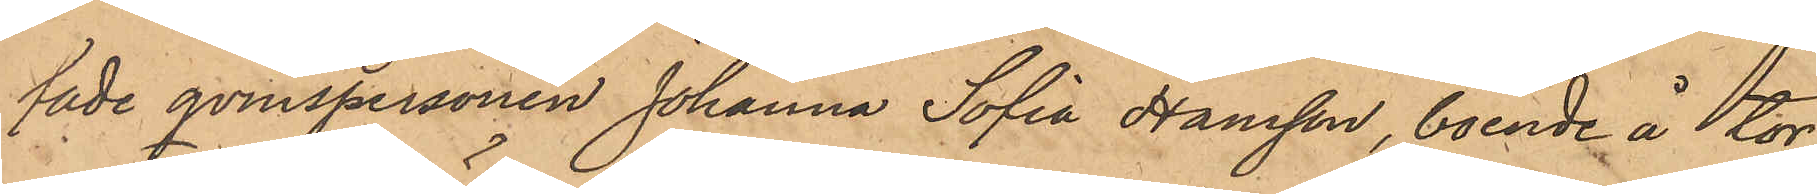fade qvinspersonen Johanna Sofia Hansson, boende å tor¬
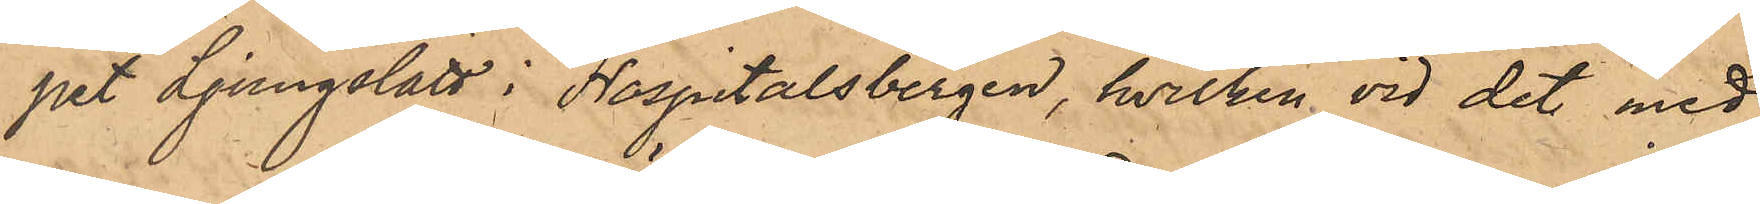pet Ljungslätt i Hospitalsbergen, hvilken vid det med
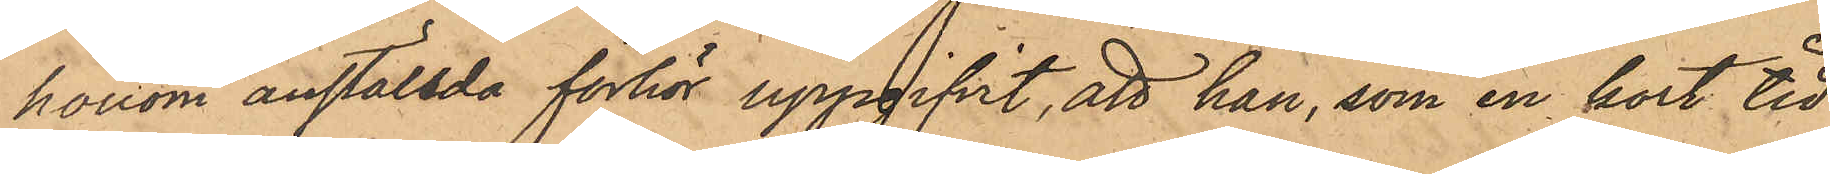honom anställda förhör uppgifvit, att han, som en kort tid
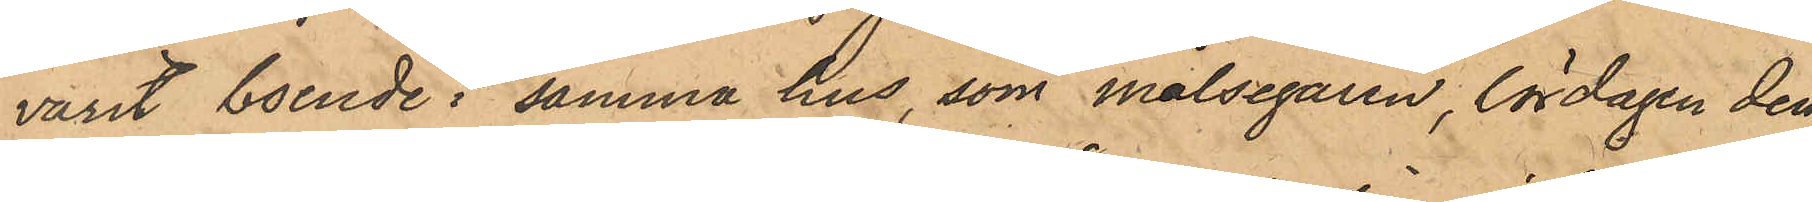varit boende i samma hus, som målsegaren, lördagen den
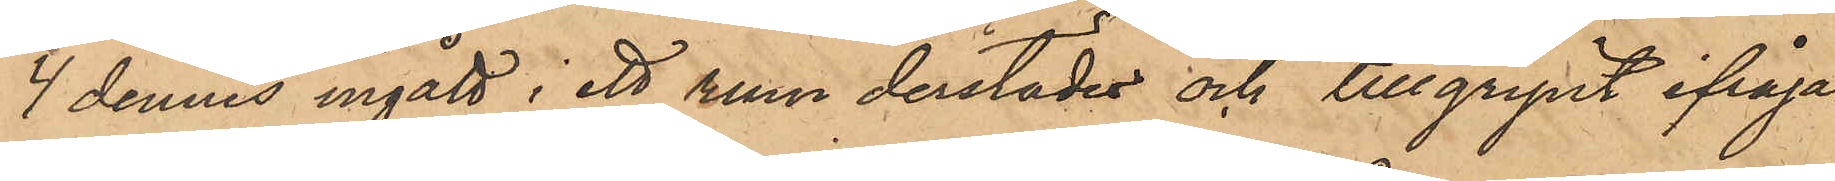4 dennes ingått i ett rum derstädes och tillgripit ifråga¬
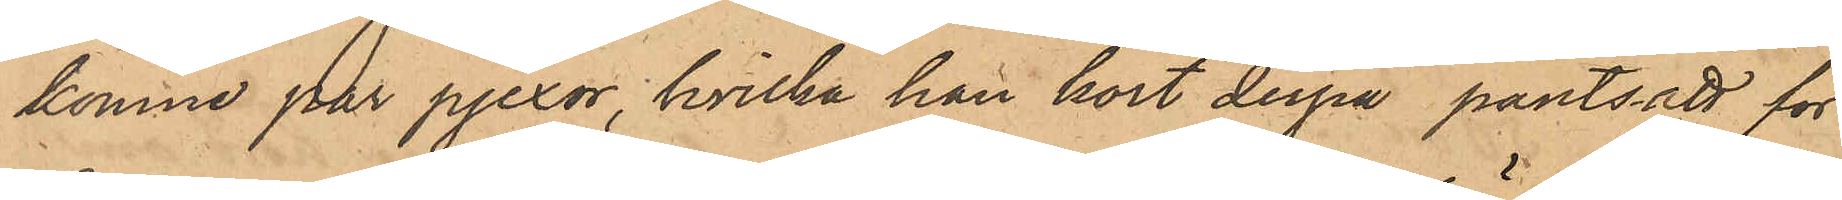komne par pjexor, hvilka han kort derpå pantsatt för
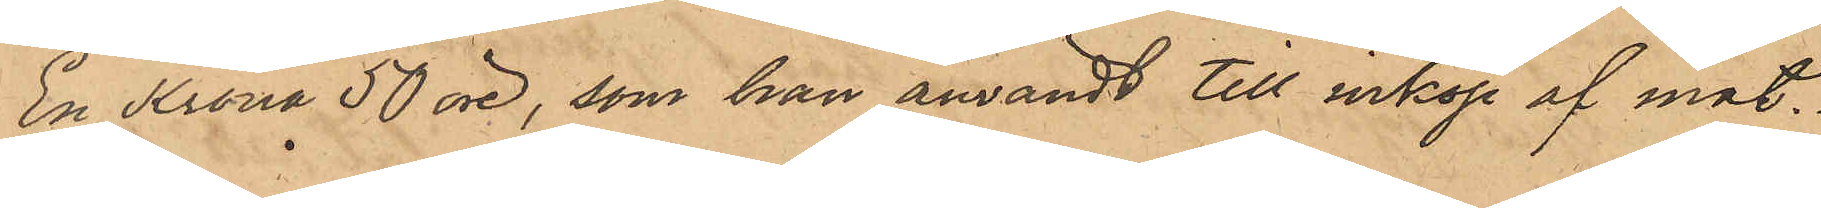En Krona 50 öre, som han användt till inköp af mat.
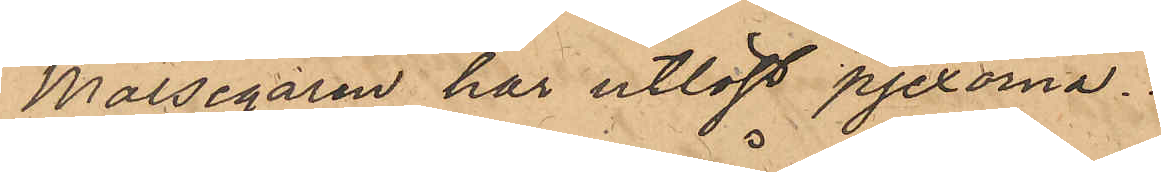Målsegaren har utlöst pjexorna.
